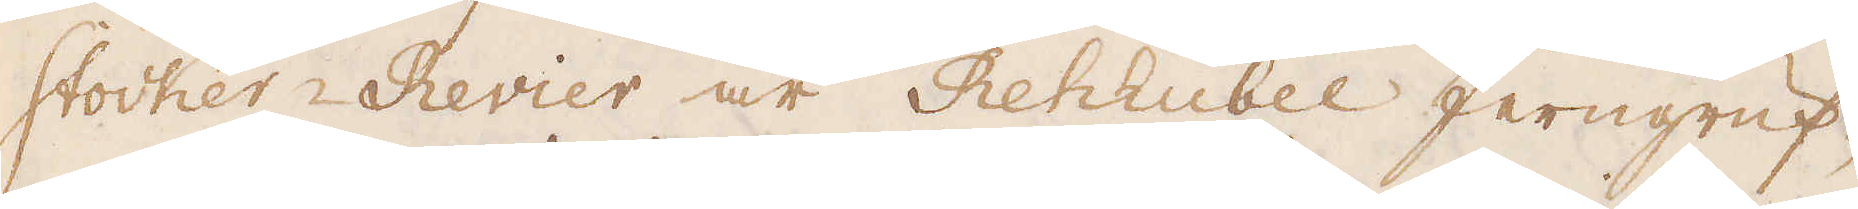stocker Revier är Rehhübel Jerngruf-
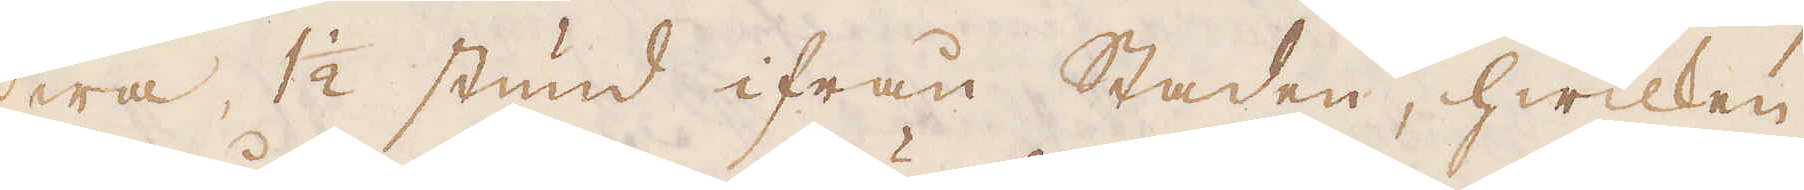wa, 1 1/2 stund ifrån Staden, hwilken
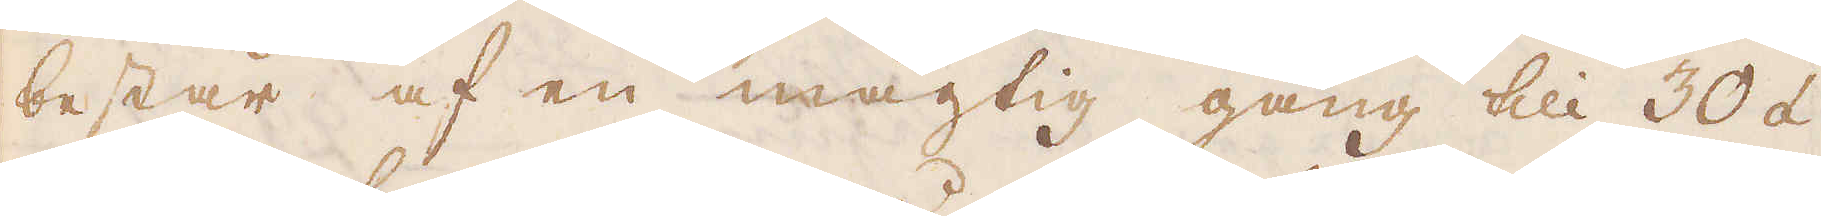består af en mägtig gång till 30 á
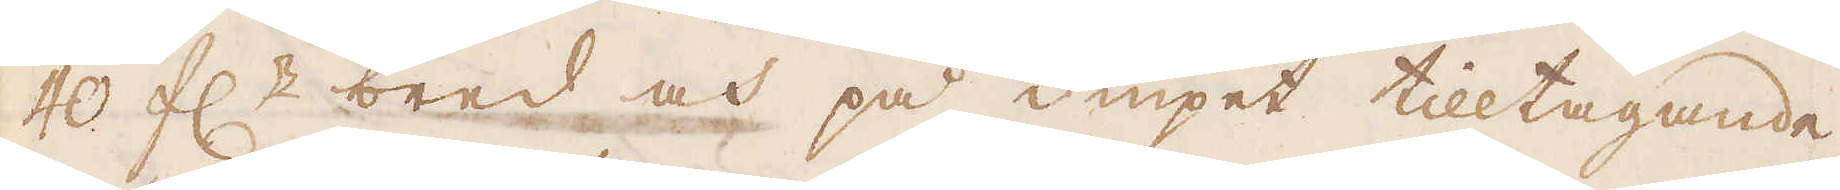40 f:r bred och på diupet tilltagande,
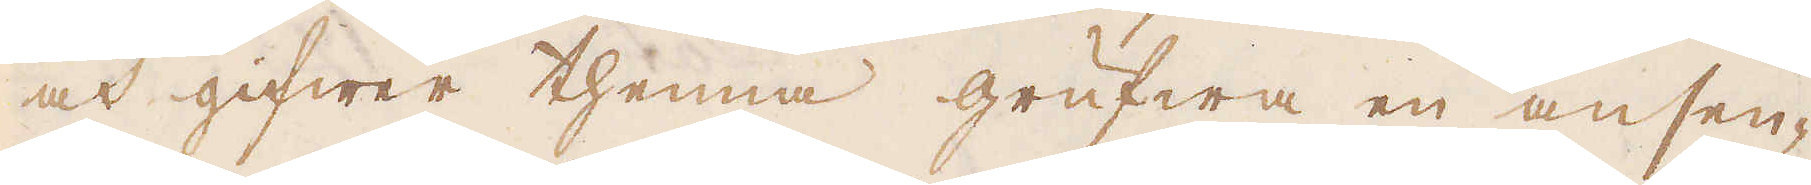och gifwer thenna grufwa en ansen-
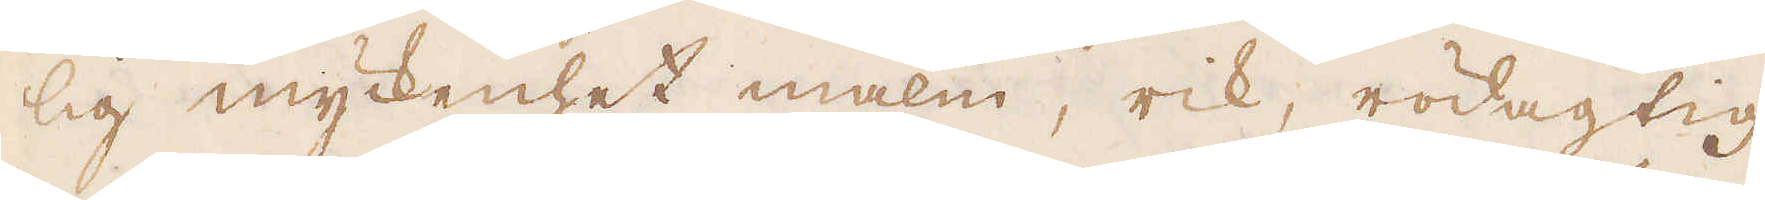lig myckenhet malm, rik, rödagtig
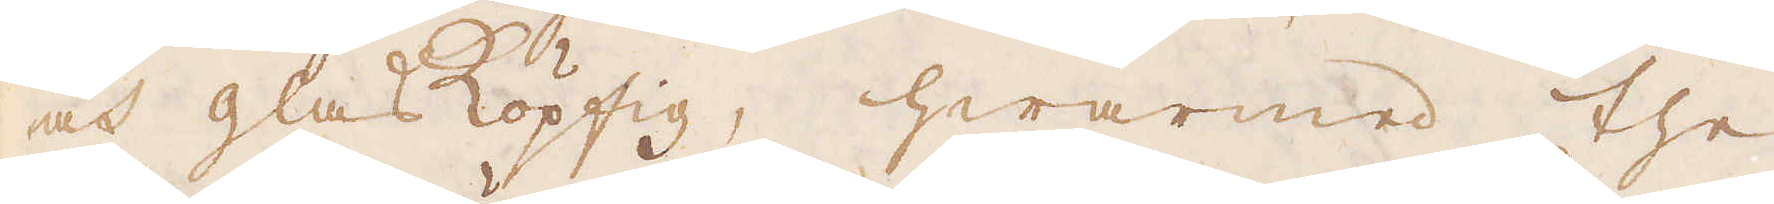och glasköpfig, hwarmed the
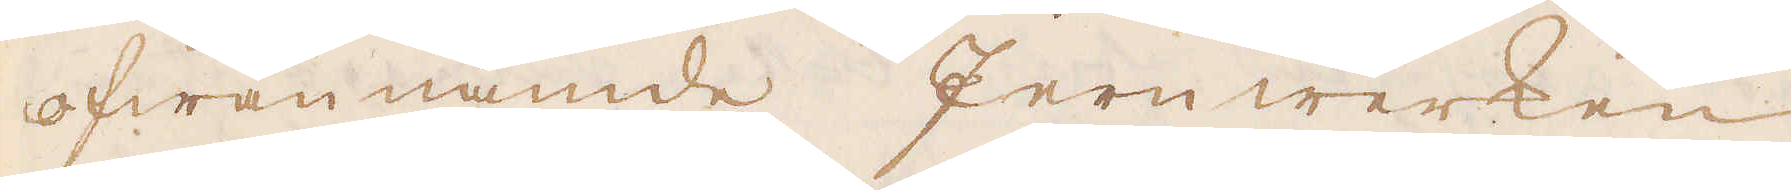ofwannämde Jernwerken
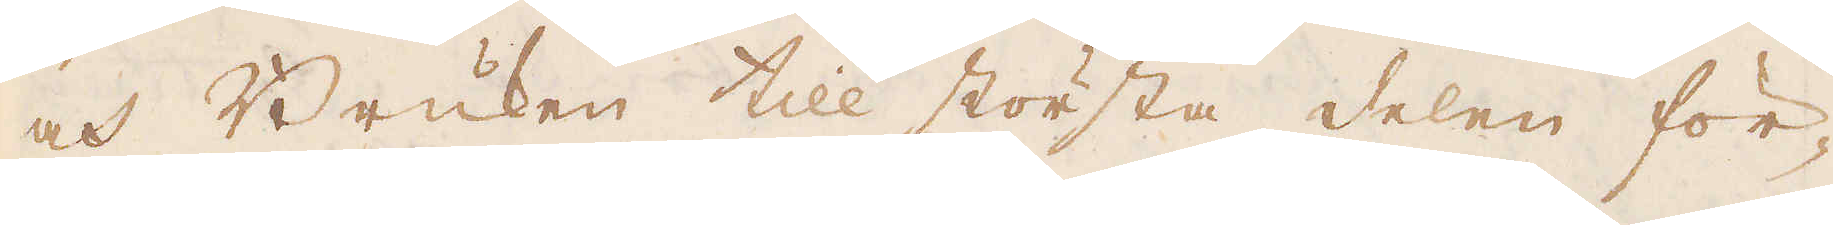och Bruken till största delen för-
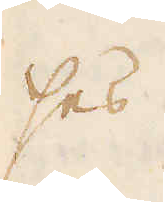ses.
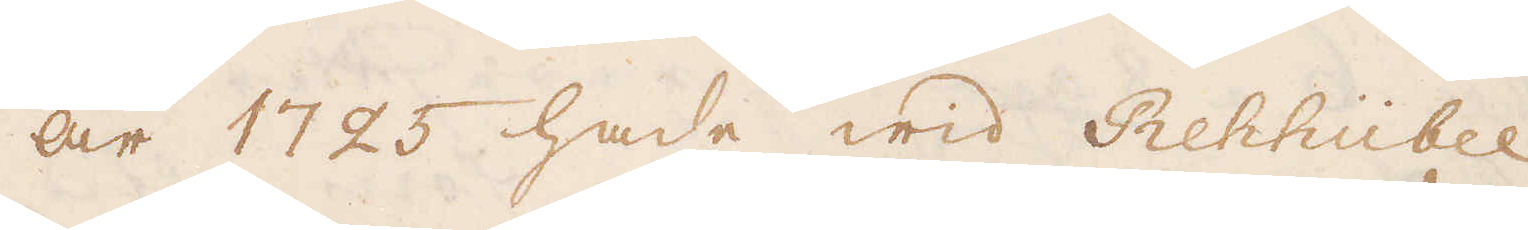År 1725 hade wid Rehhübel
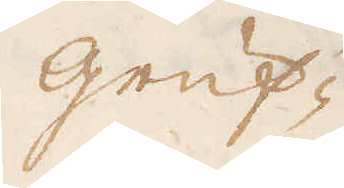Gruf-
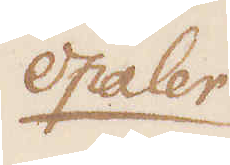Opaler
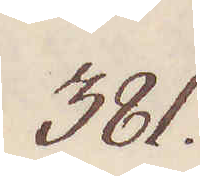381.
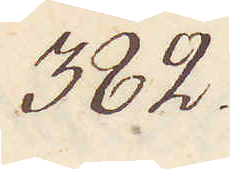382.
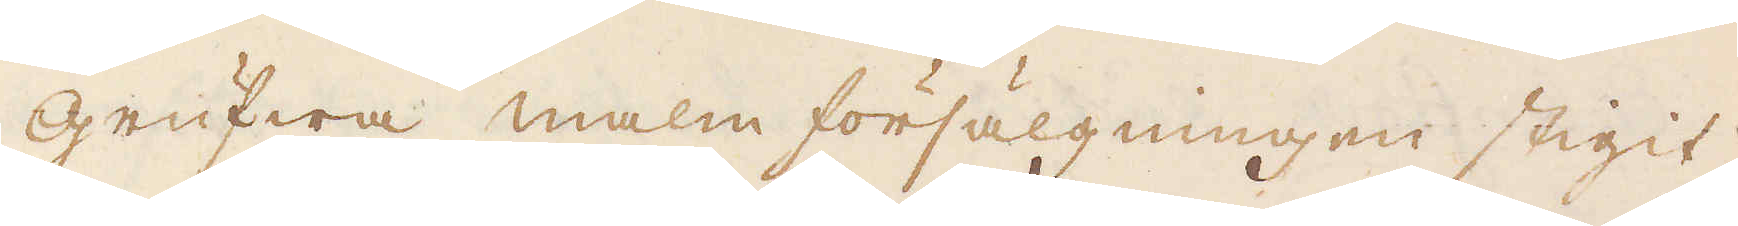grufwa malm försälgningen stigit,
